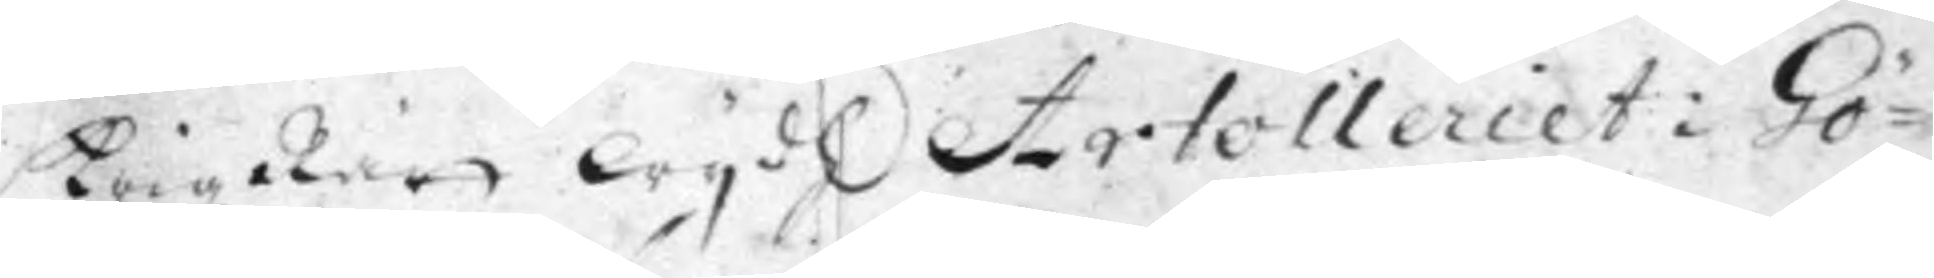KrigzRätt wydh Artilleriet i Gö¬
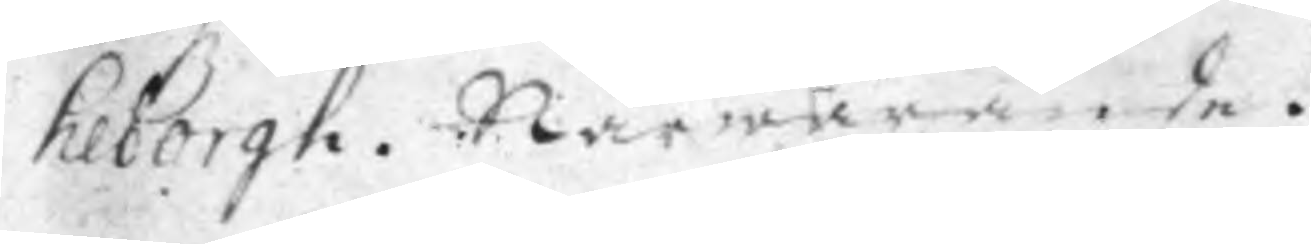teborgh. Närwarande.
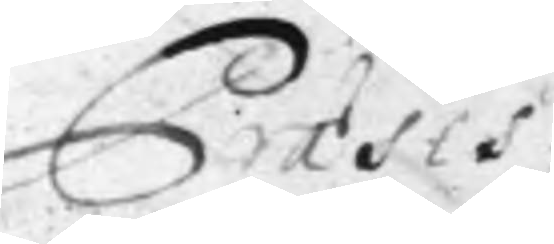Præses.
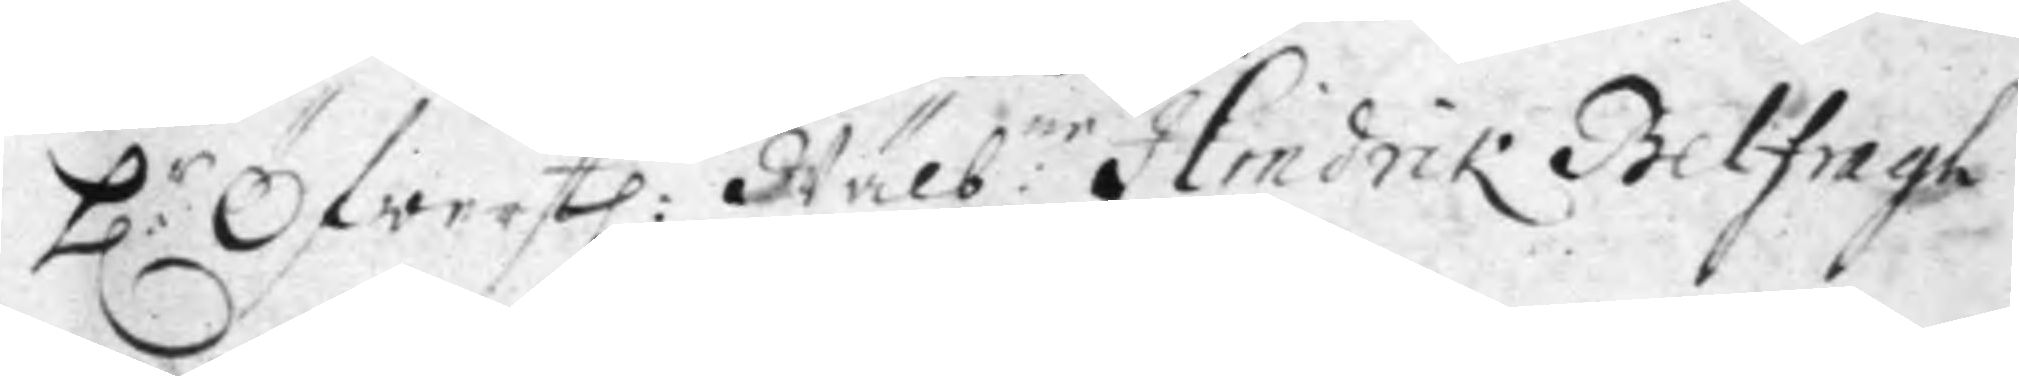H:r Öfwerstl: Wälb:ne Hindrik Belfragh
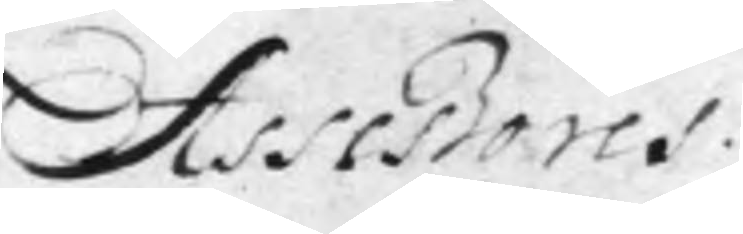Assessores
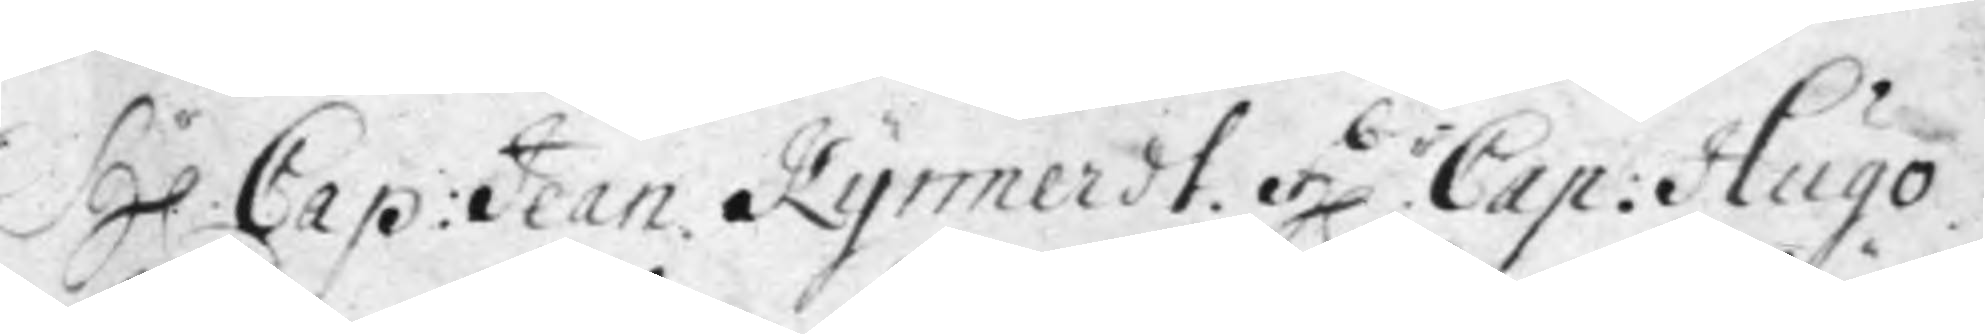H.r Cap: Jean Kymnerdt. H.r Cap: Hugo
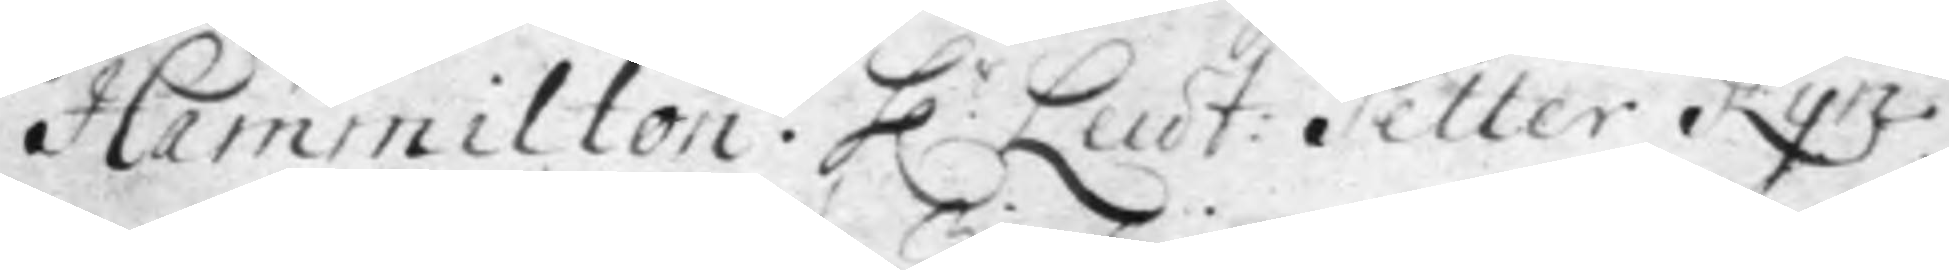Hammilton. H.r Leut: Petter Kyn¬
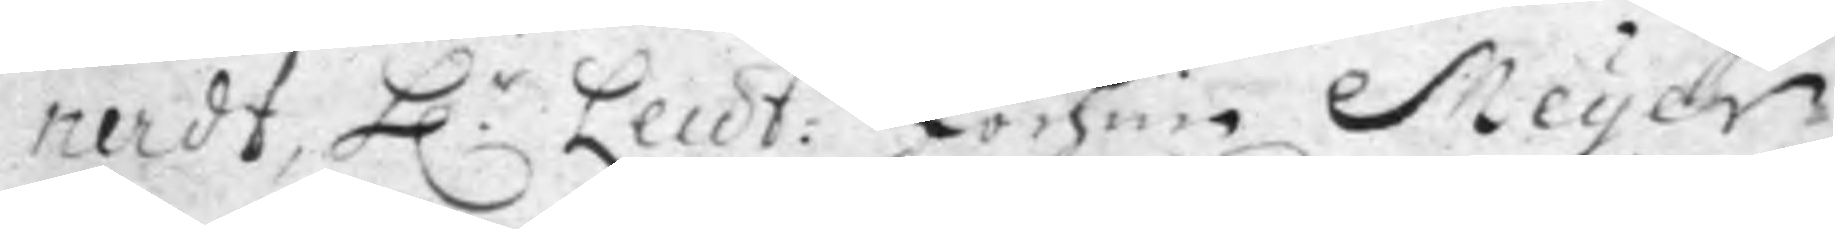nerdt, H.r Leut: Jochun Meyer
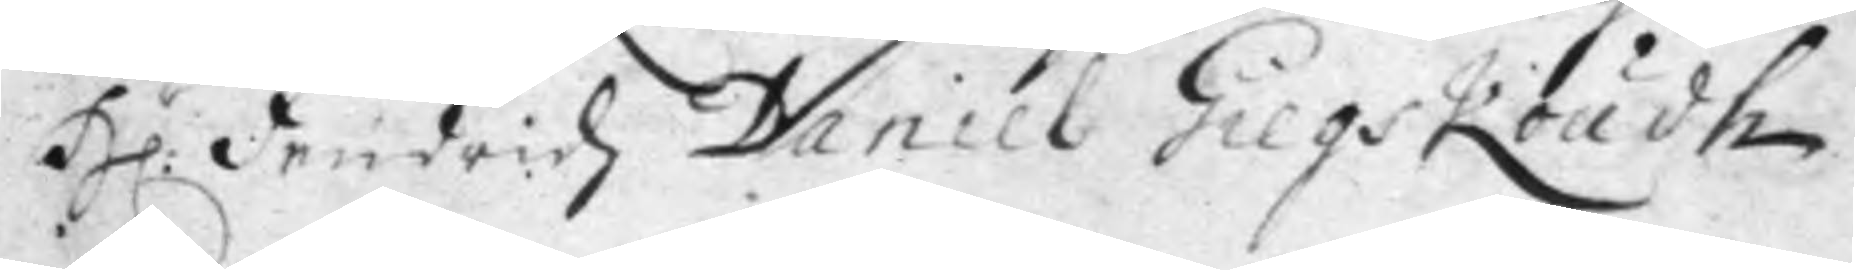H:r Friedrich Daniel Gilgskoudh
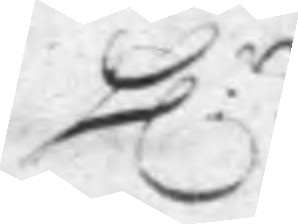H:r
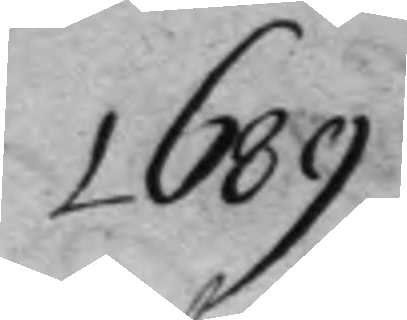1689
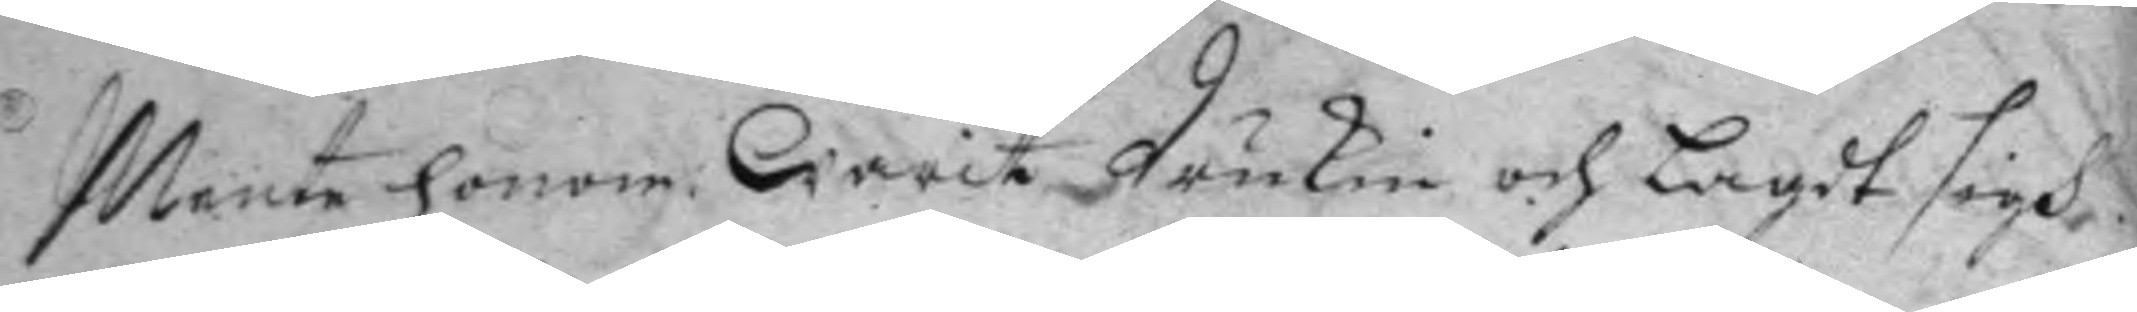Mente honom warit drukin och lagdt sigh
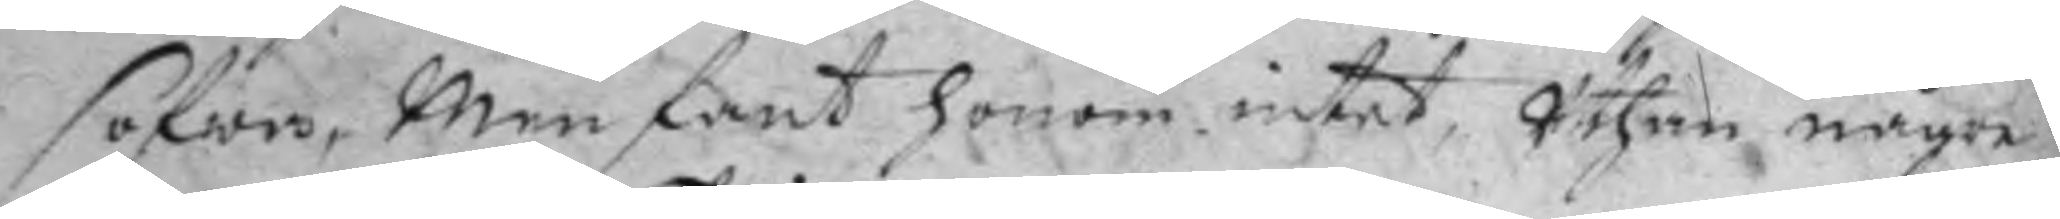sofwa, men fant honom intet, Uthan någre
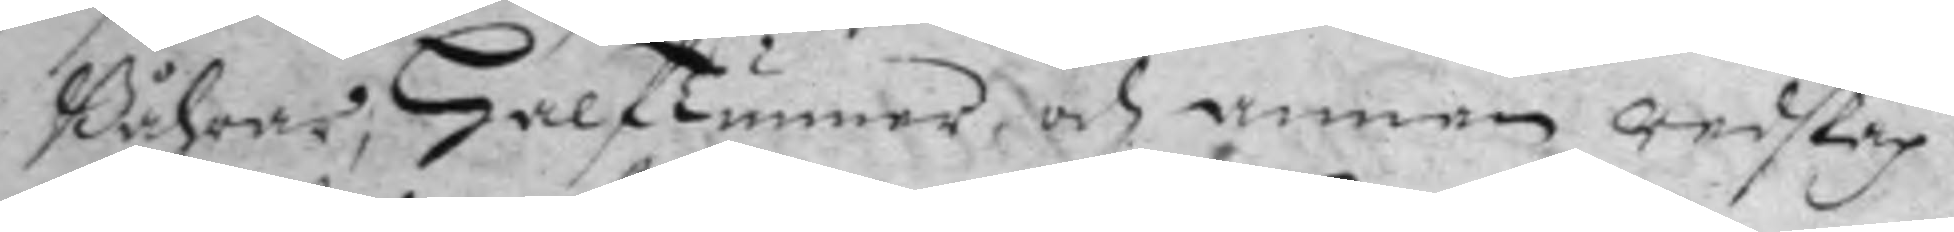Båhrar; Halftunner och annan redskap
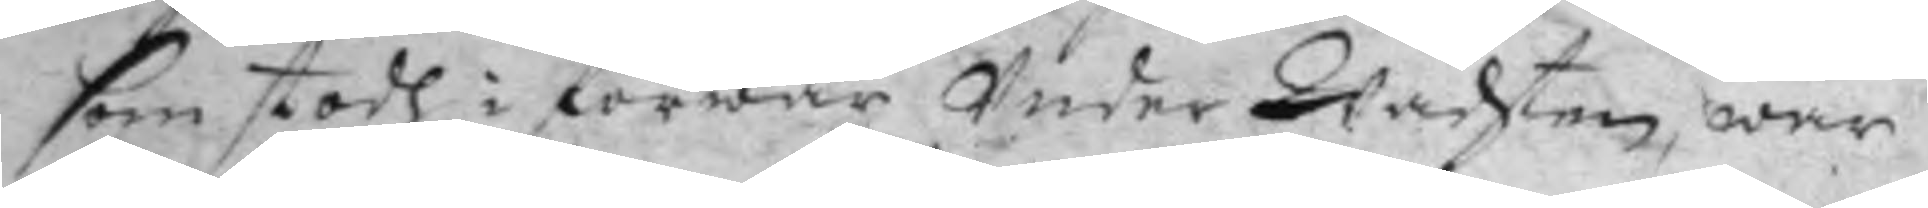som stodh i förwar Under Wachten, war
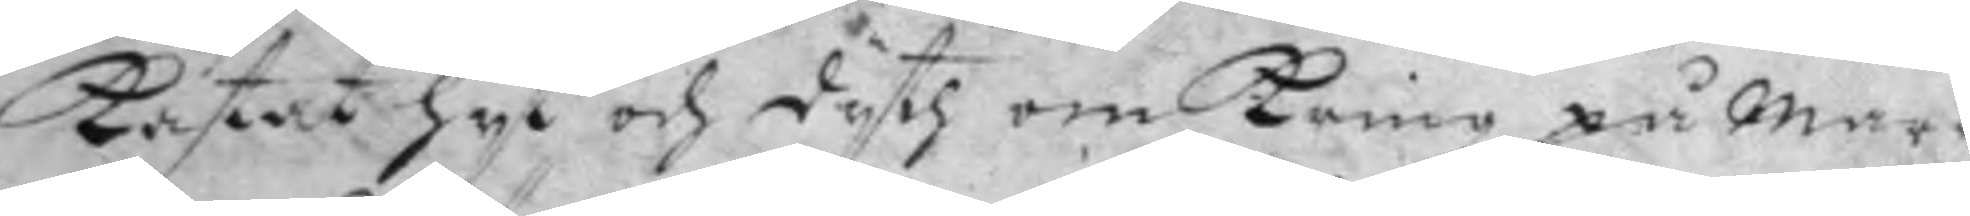kastat hyt och dyth om kring på mar¬
